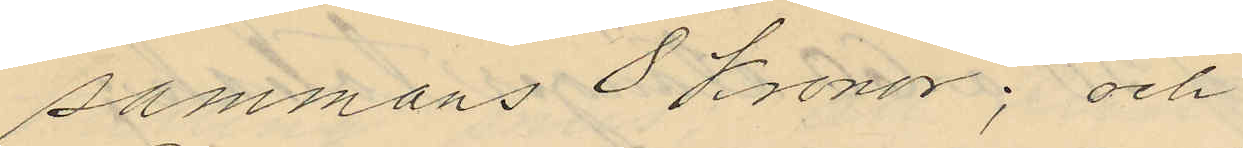sammans 8 kronor; och
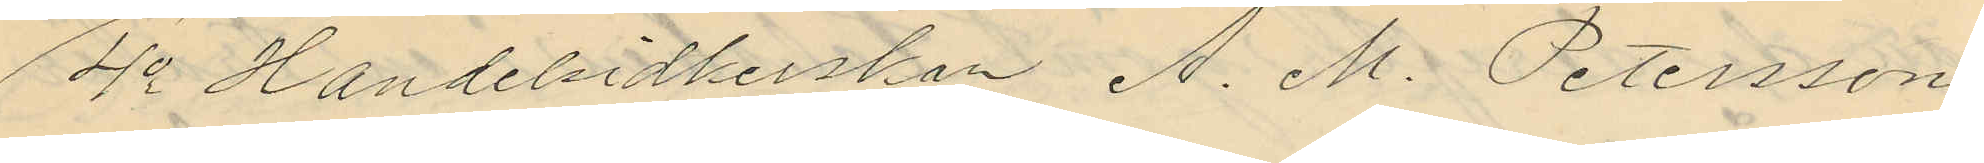4o Handelsidkerskan A. M. Petersson
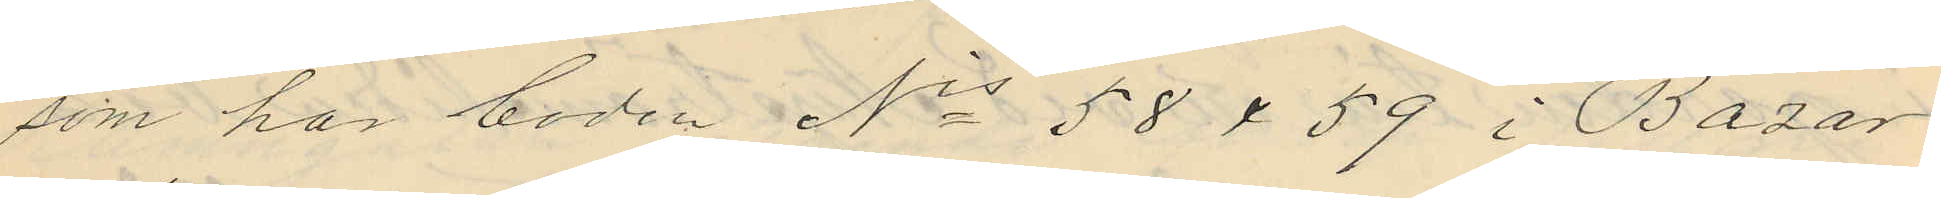som har boden Nis 58 & 59 i Bazar
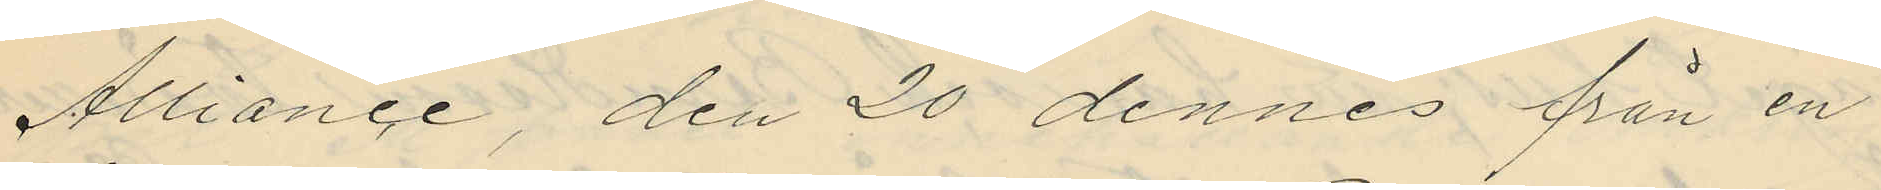Alliance, den 20 dennes från en
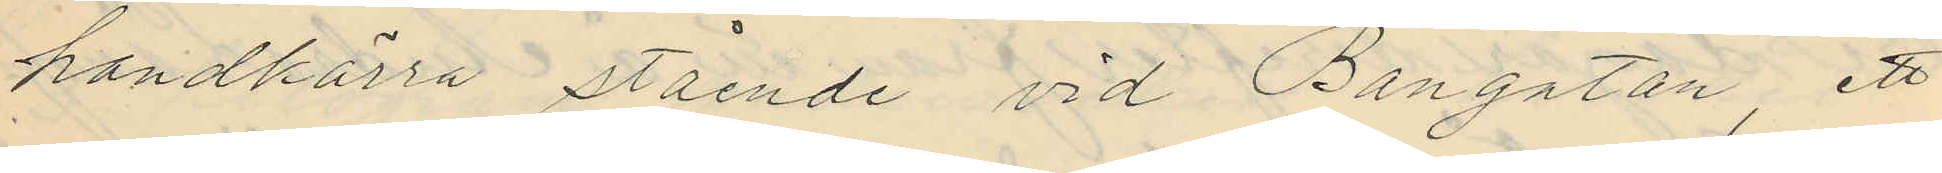handkärra stående vid Bangatan, ett
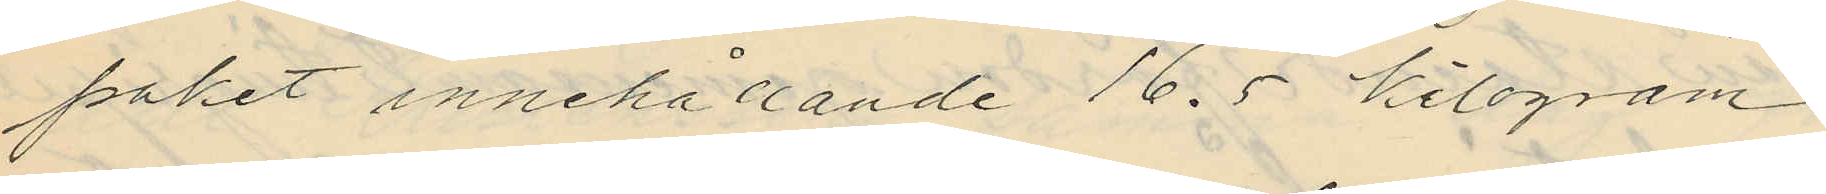paket innehållande 16.5 kilogram
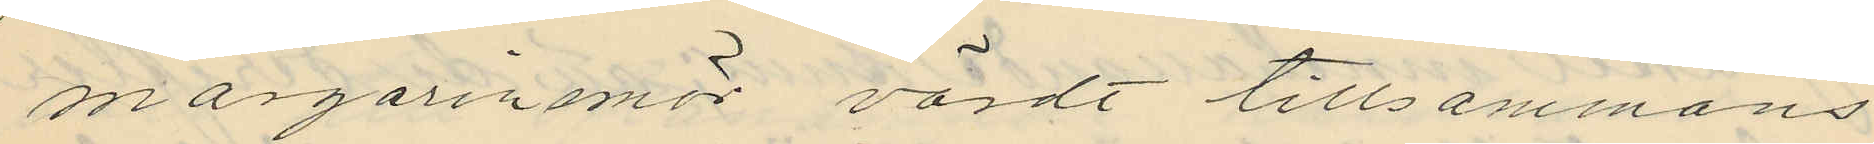margarinsmör värdt tillsammans
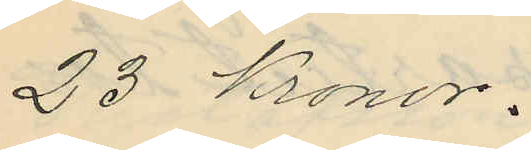23 kronor.
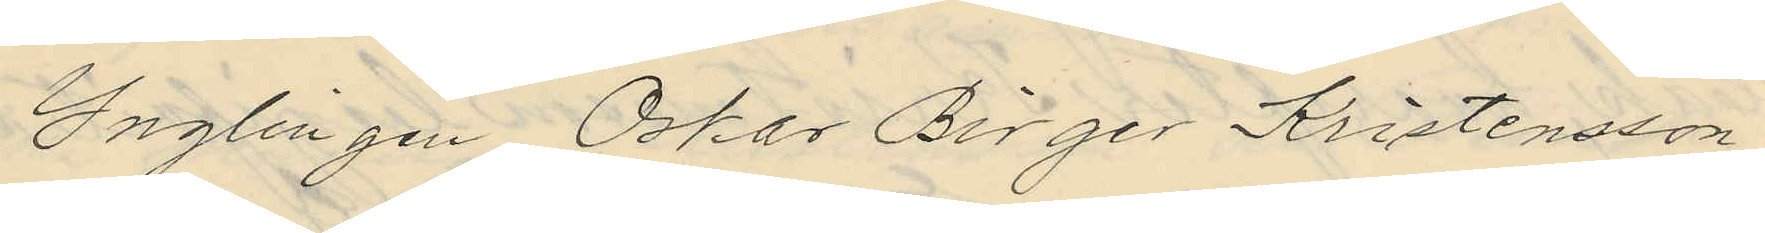Ynglingen Oskar Birger Kristensson
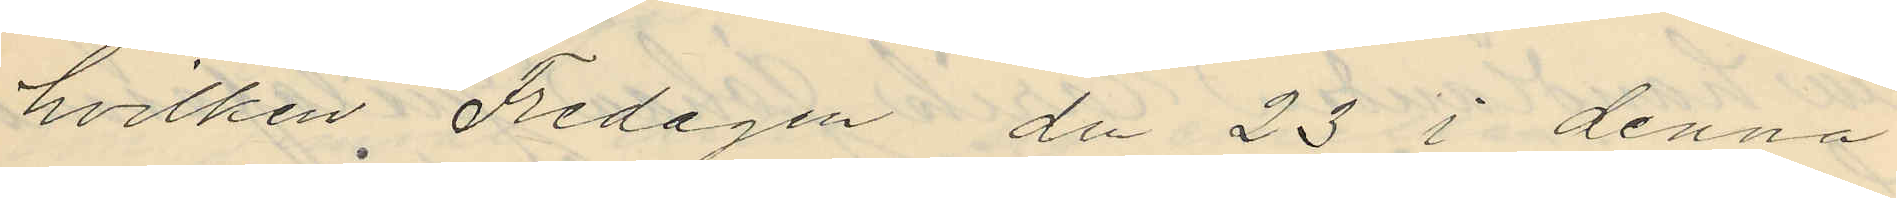hvilken Fredagen den 23 i denna
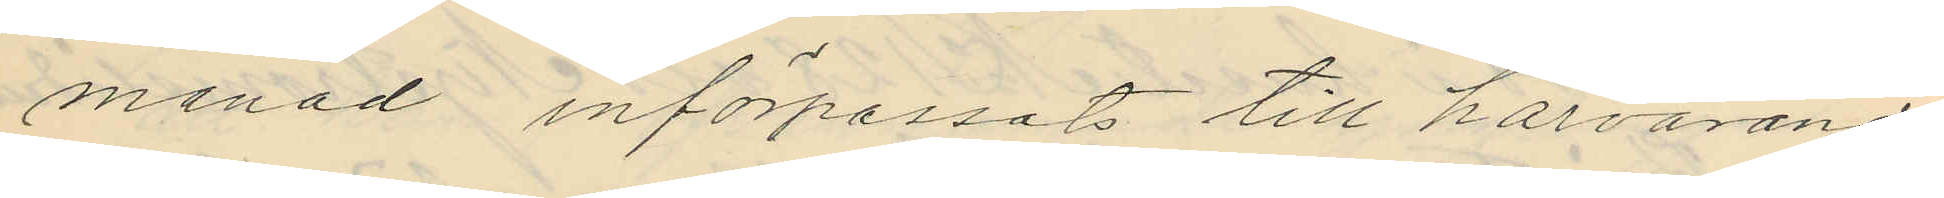månad införpassats till härvarande
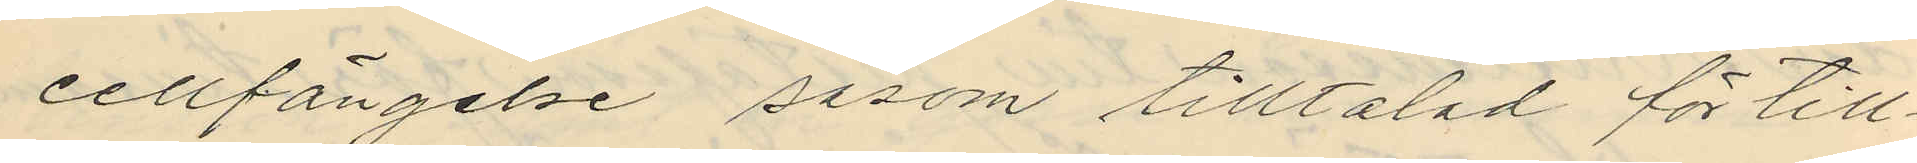cellfängelse såsom tilltalad för till¬
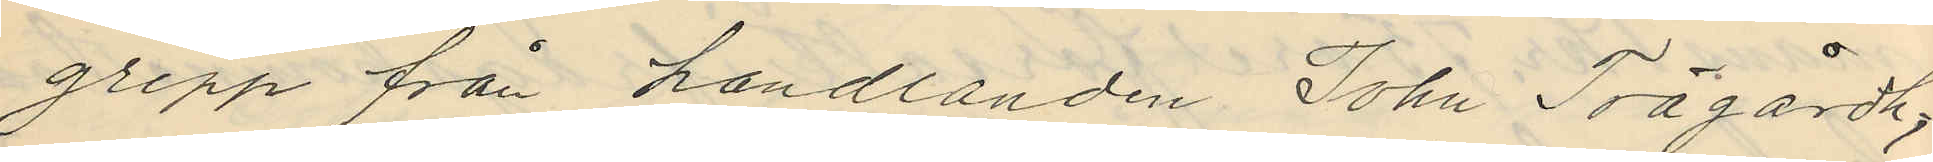grepp från handlanden John Trägårdh,
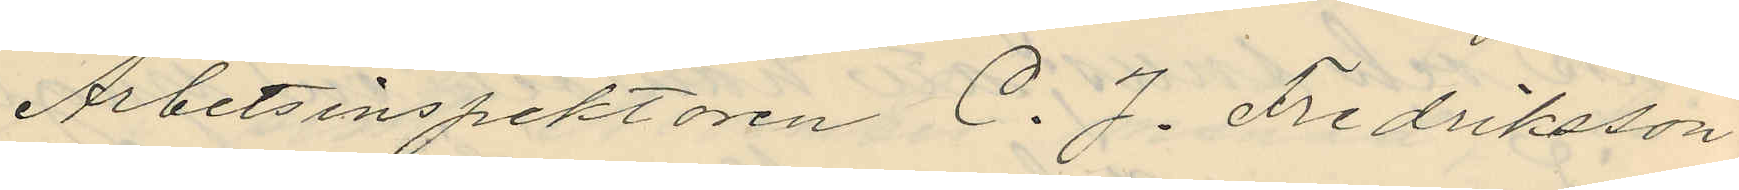Arbetsinspektoren C. J. Fredriksson
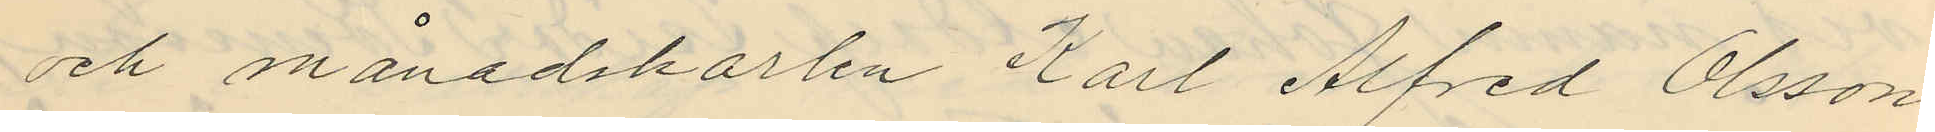och månadskarlen Karl Alfred Olsson
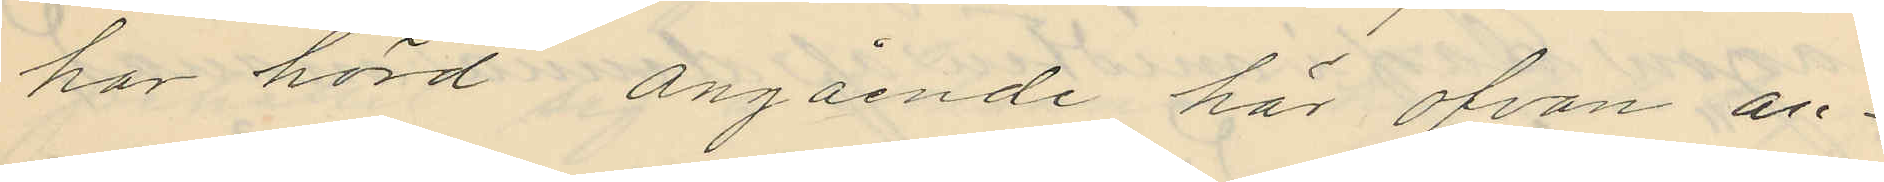har hörd angående här ofvan an¬
